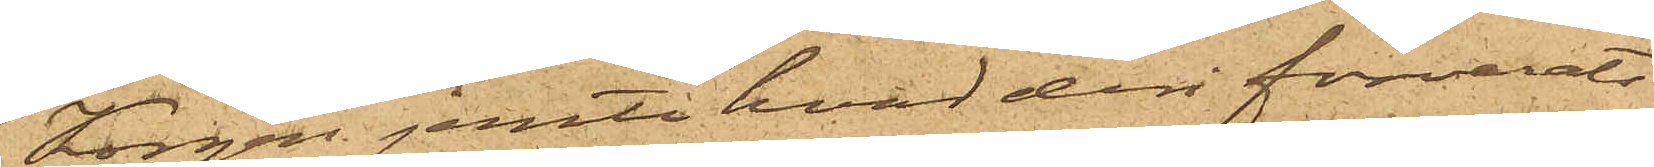Korgen jemte hvad deri förvarats
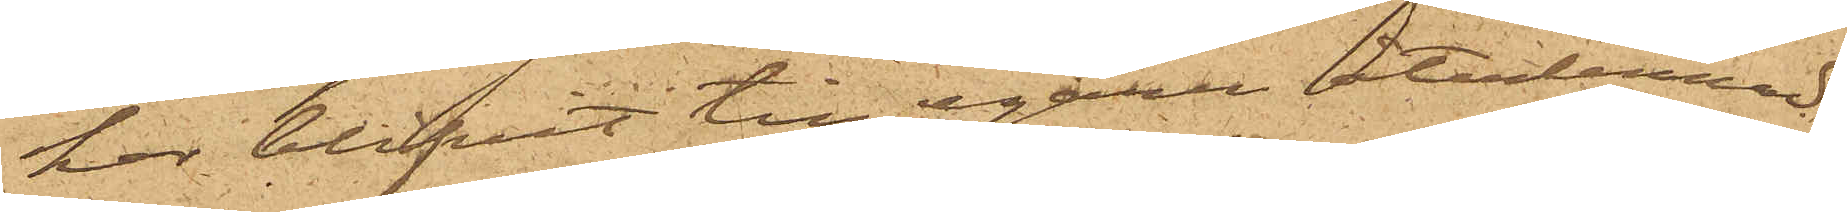har blifvit till egaren återlemnad.
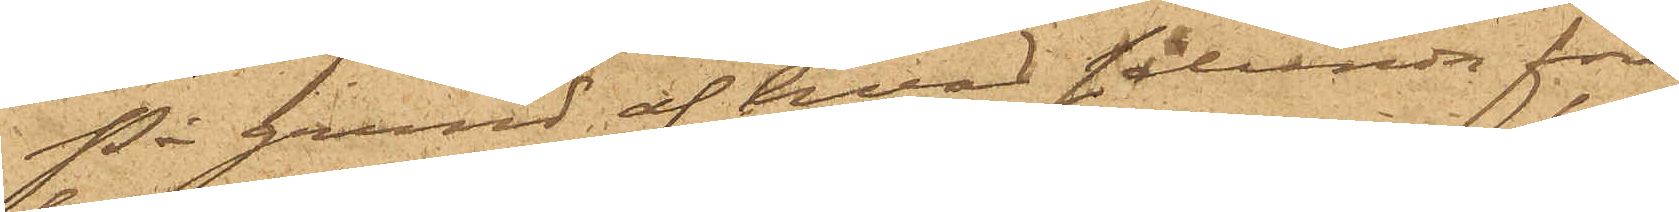På grund af hvad sålunda före¬
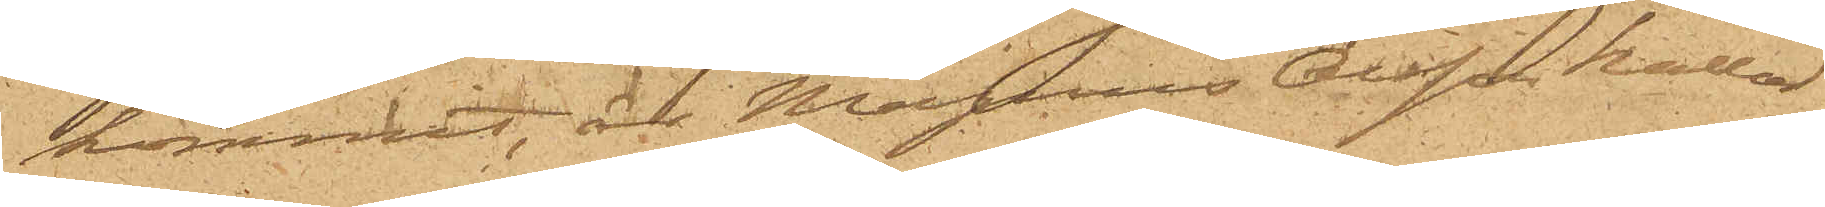kommit, är Magnus Olsson kallad
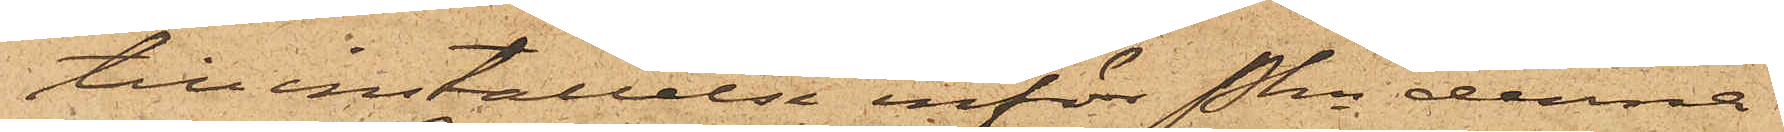till inställelse inför Pkn denna
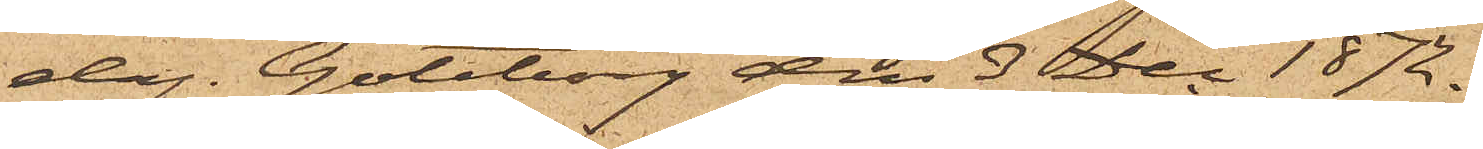dag. Göteborg den 3 Dec. 1872.
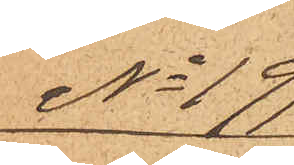No 197
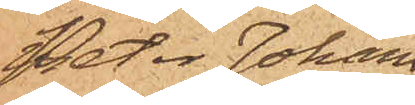Peter Johans¬
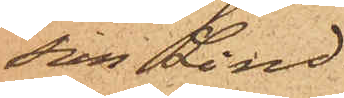son Lind.
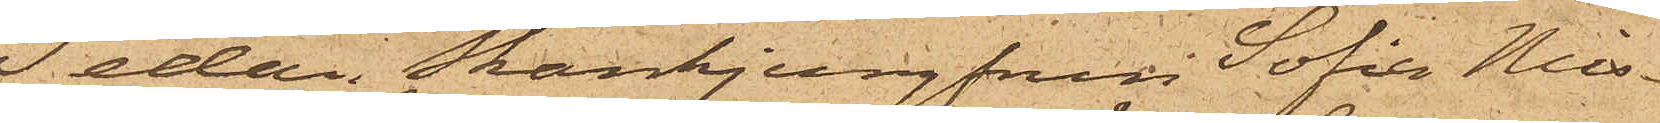Sedan Skänkjungfrun Sofia Nils¬
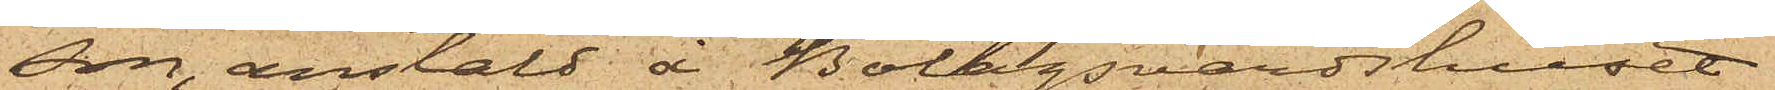son, anstäld å Bolagsvärdshuset
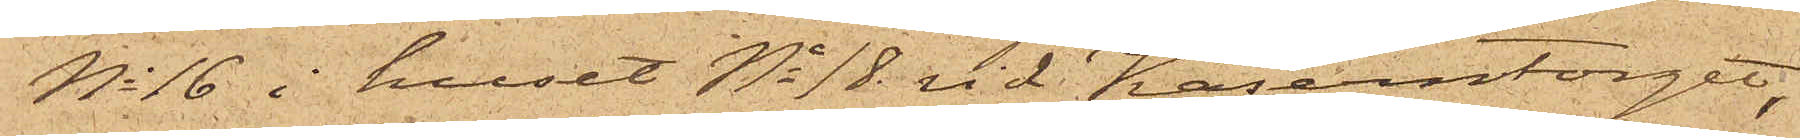No 16 i huset No 18 vid Kaserntorget,
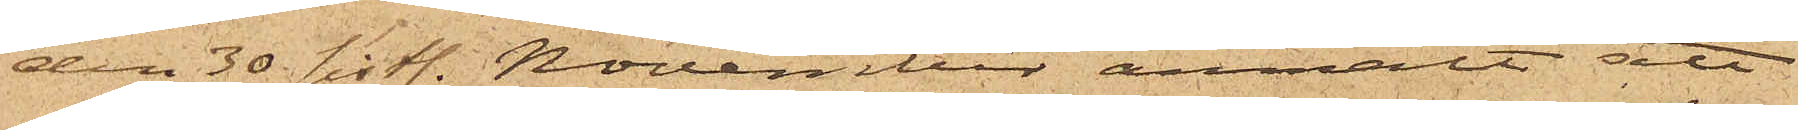den 30 sistl. November anmält att
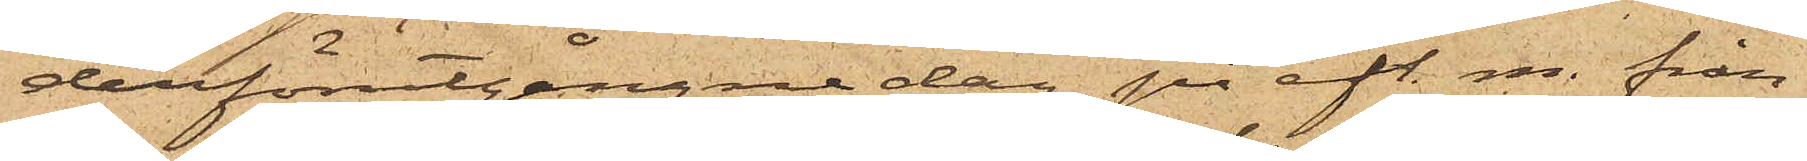derförutgångne dag på eft. m. från
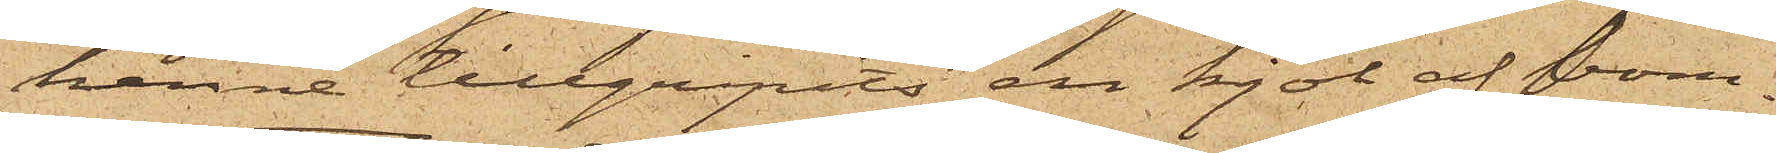henne tillgripits en kjol af bom¬
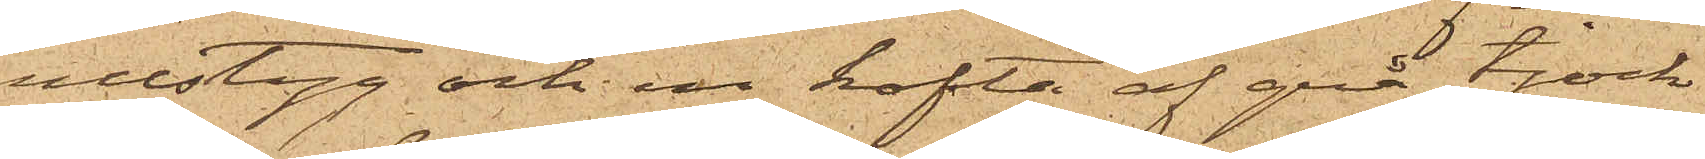ullstyg och en kofta af grå tjock
